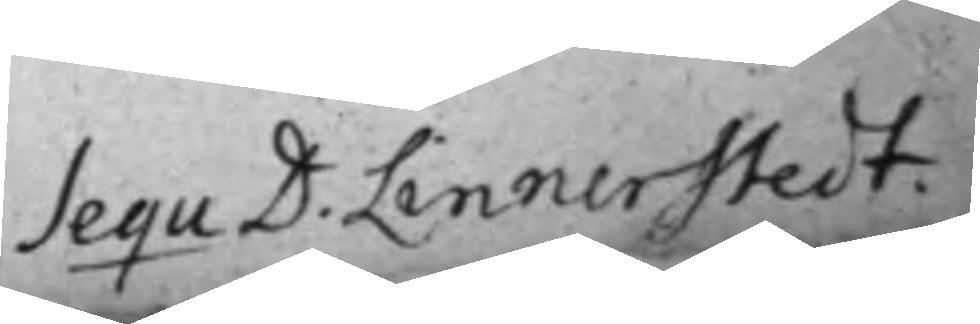Sequ D. Linnerstedt. 
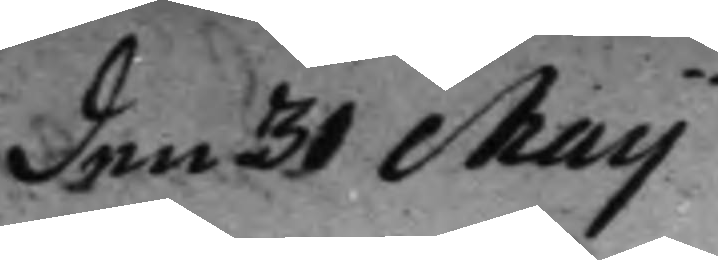den 31 Maij
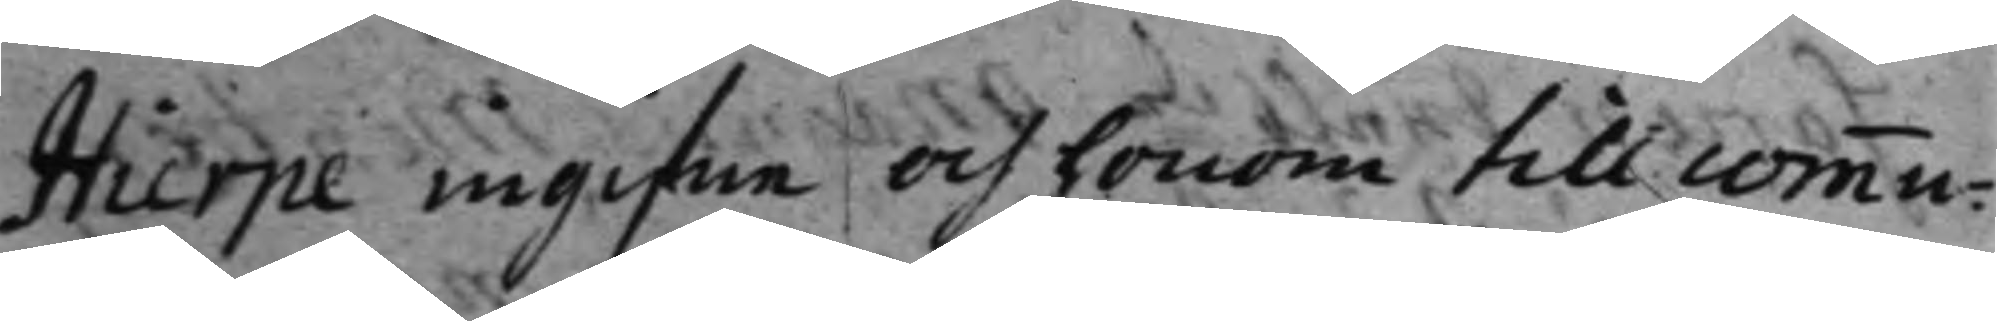Hierpe ingifne och honom till commu¬
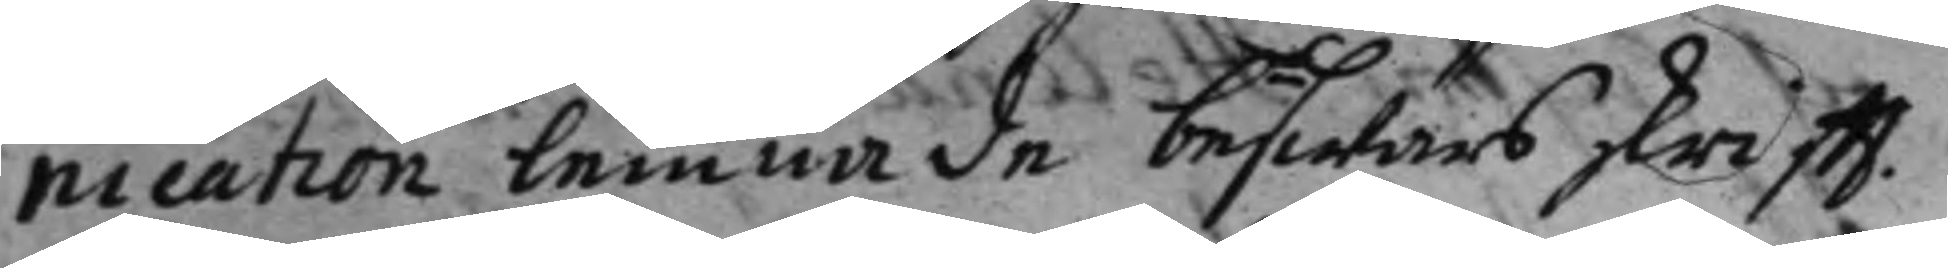nication lemnade beswärs skrifft.
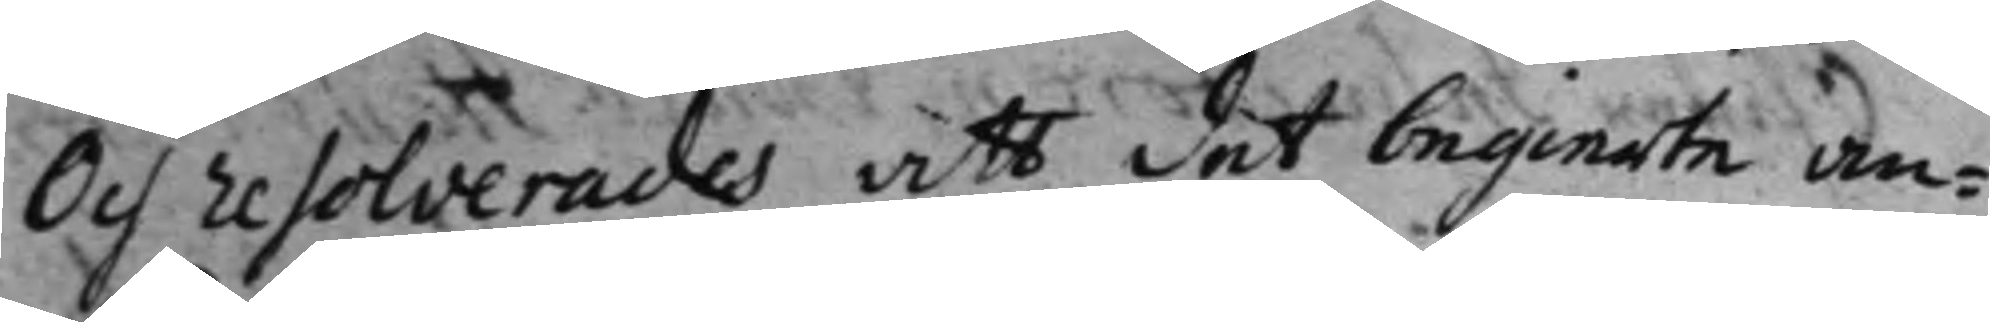Och resolverades att det begierte an¬
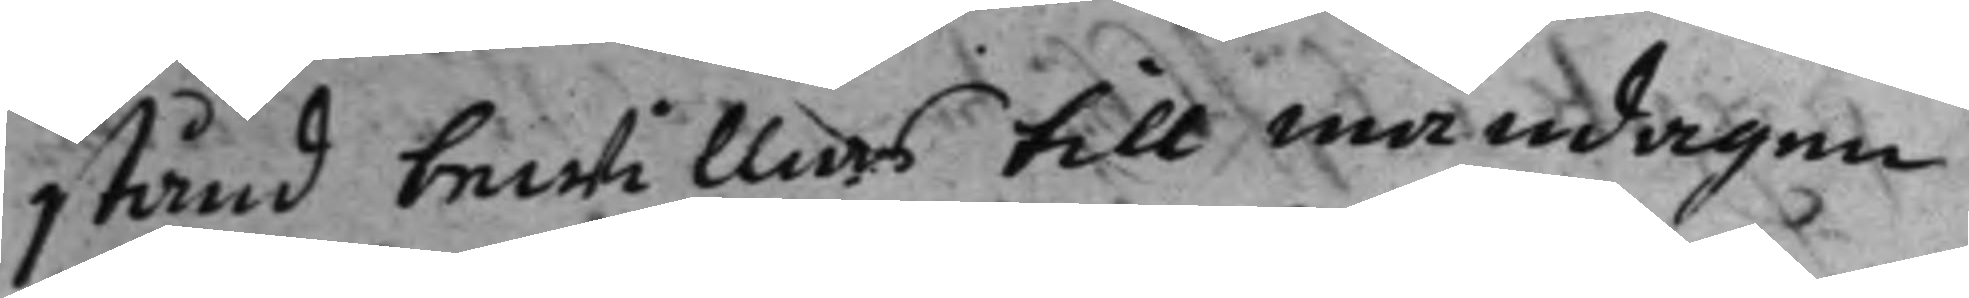stånd bewillias till måndagen
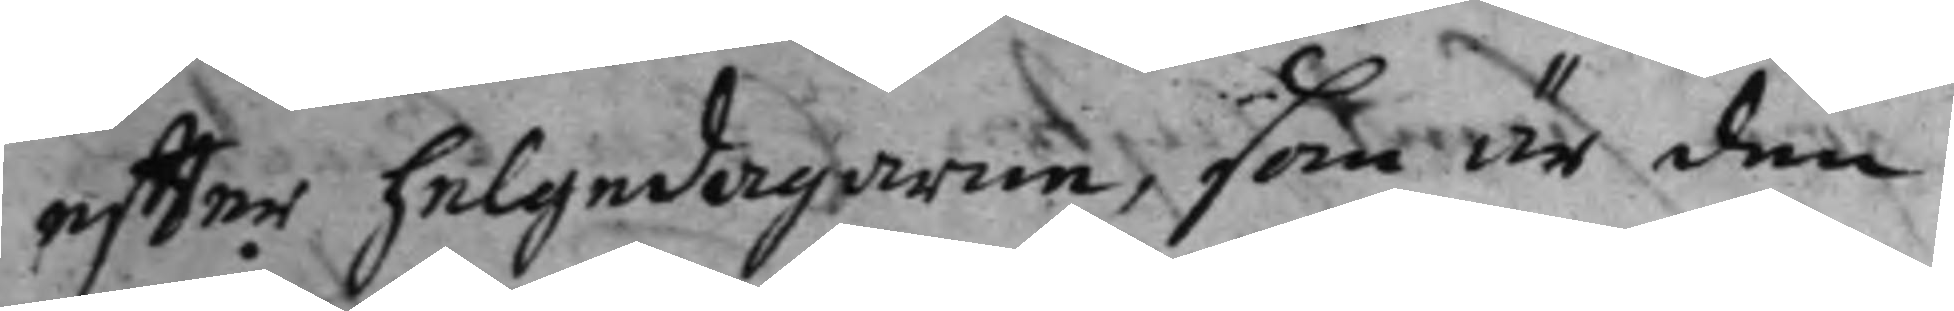effter helgedagarne, som är den
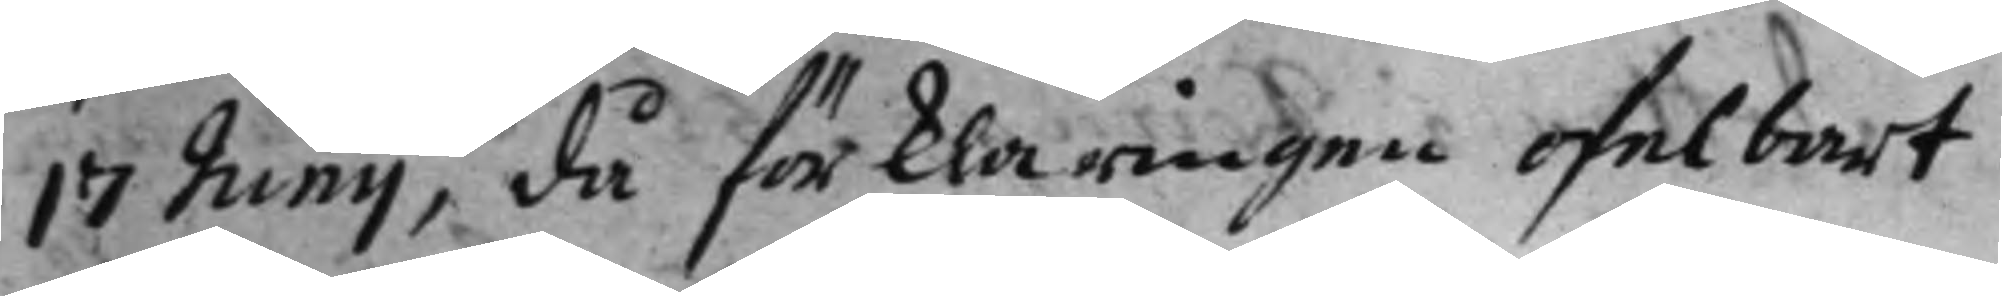17 Junij, då förklaringen ofelbart
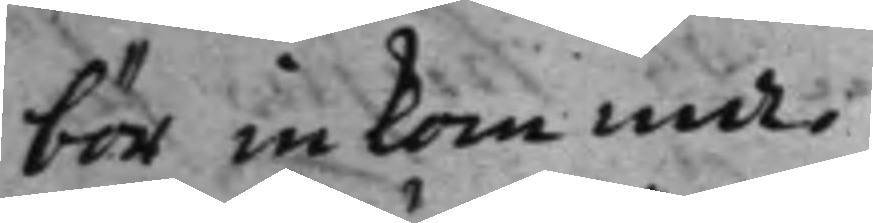bör inkomma.
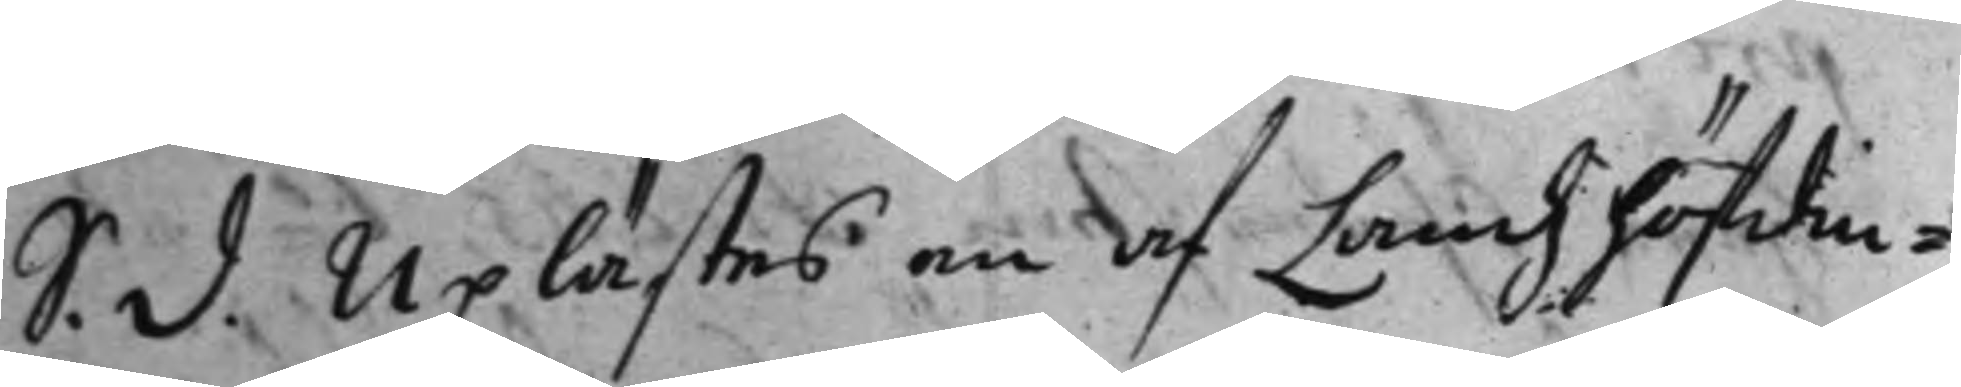S. d. Uplästes en af Landzhöfdin¬ 
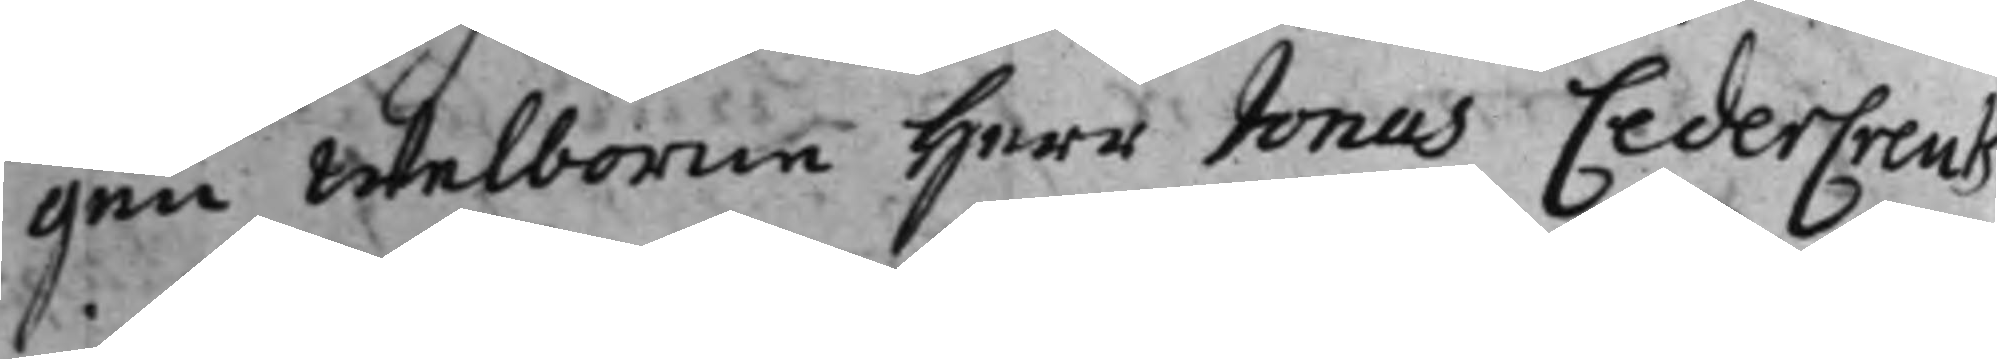gen Welborne Herr Jonas CederCreutz
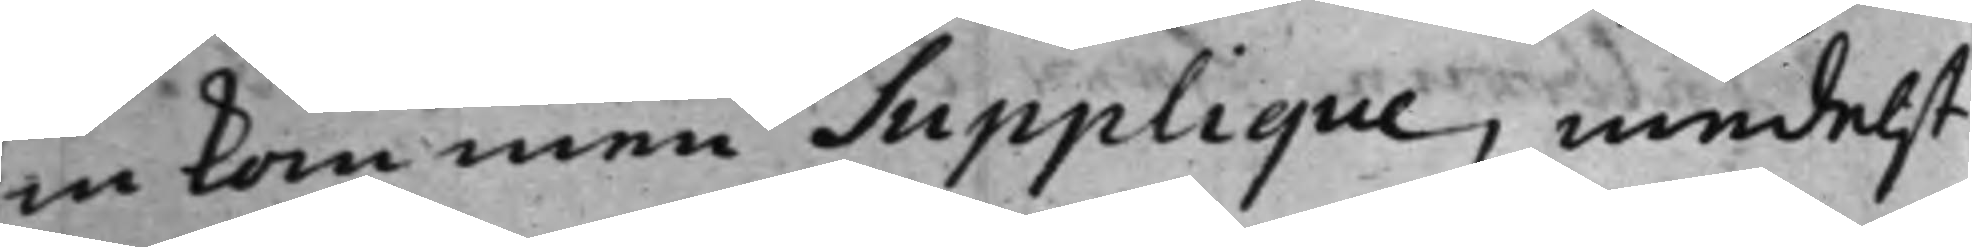inkommen Supplique, medelst
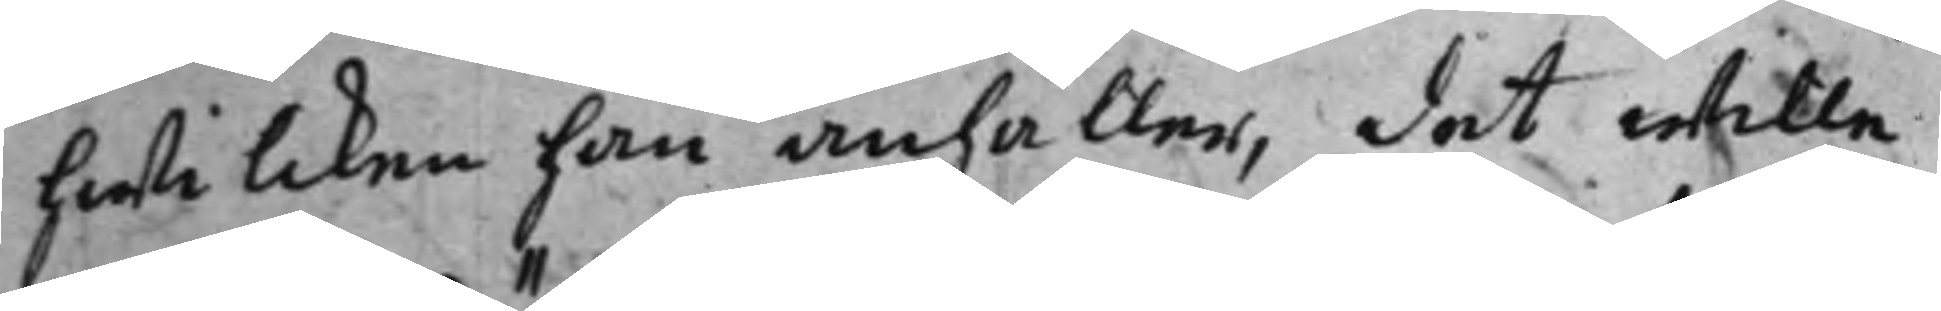hwilcken han anhåller, det wille
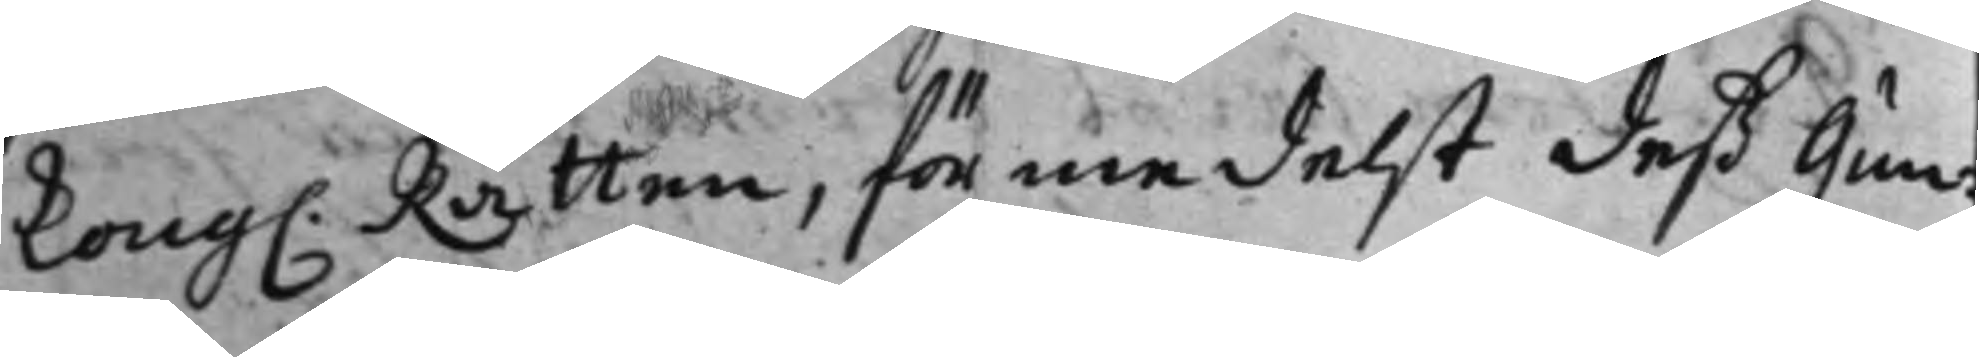Kong. Rätten, förmedelst deß Gun¬ 
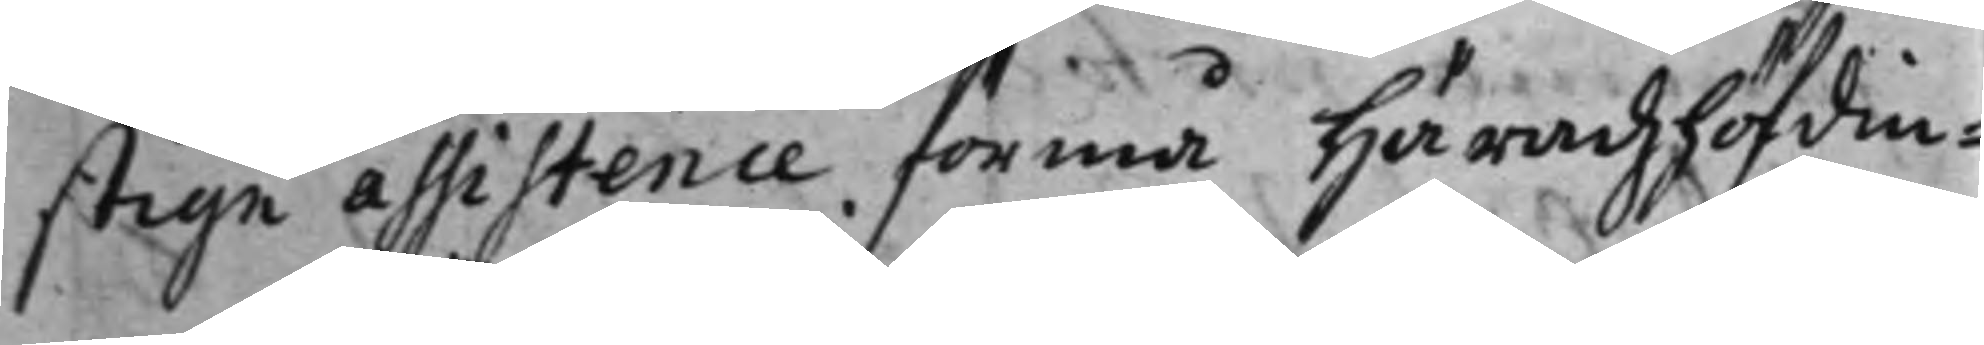stige assistence förmå häradzhöfdin¬
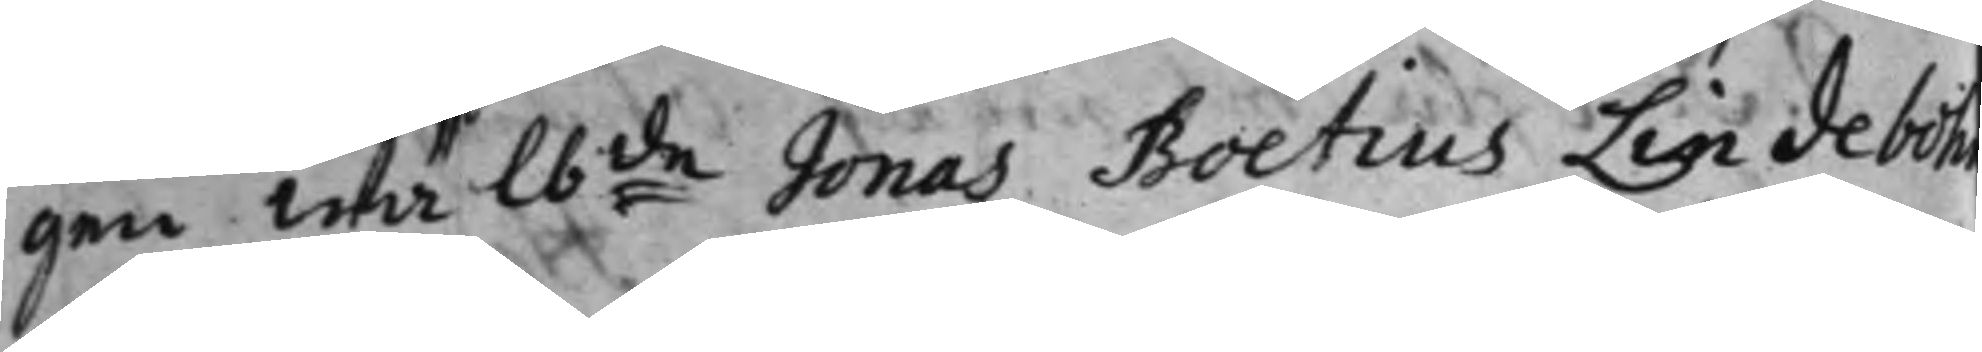gen Wälb:de Jonas Boetius Lindeboh
